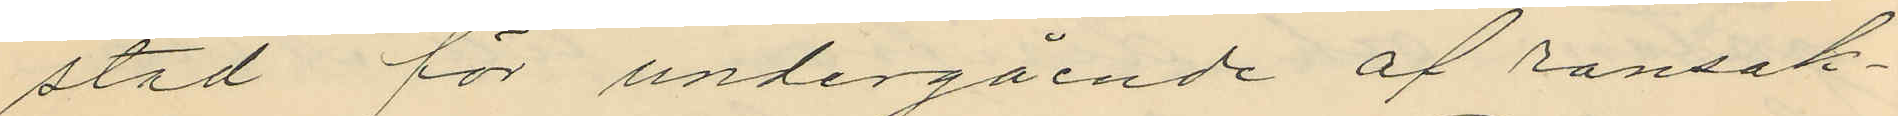stad för undergående af ransak¬
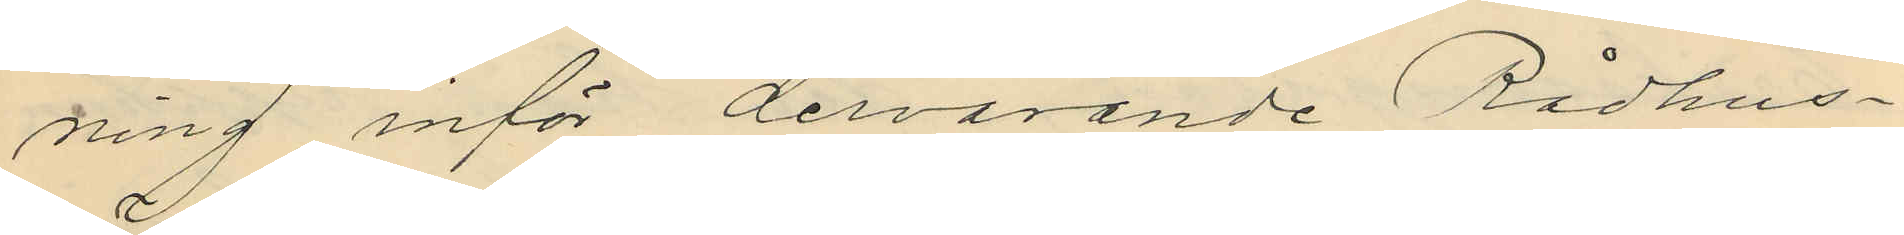ning inför dervarande Rådhus¬
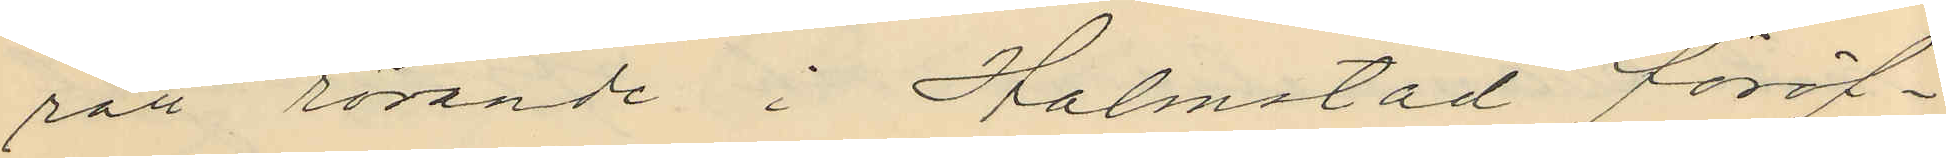sätt rörande i Halmstad föröf¬
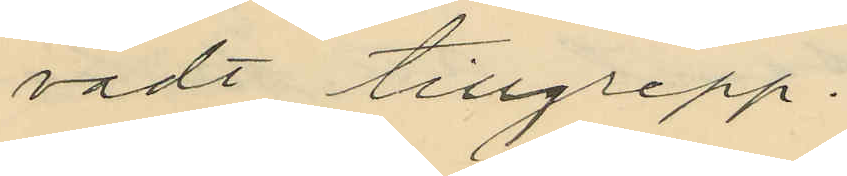vadt tillgrepp.
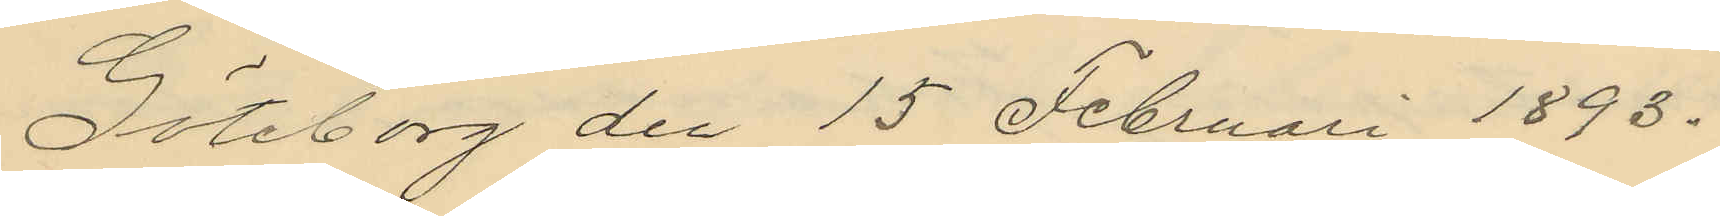Göteborg den 15 Februari 1893.
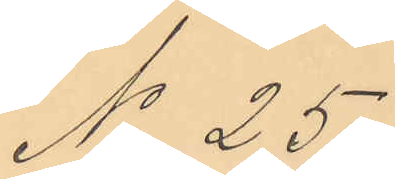No 25.
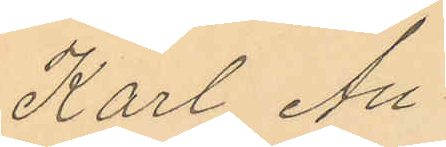Karl Au¬
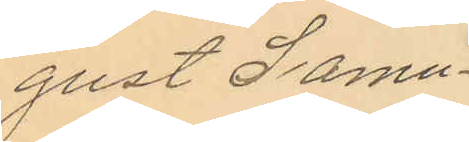gust Samu¬
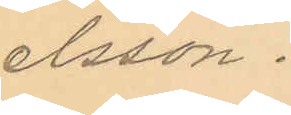elsson.
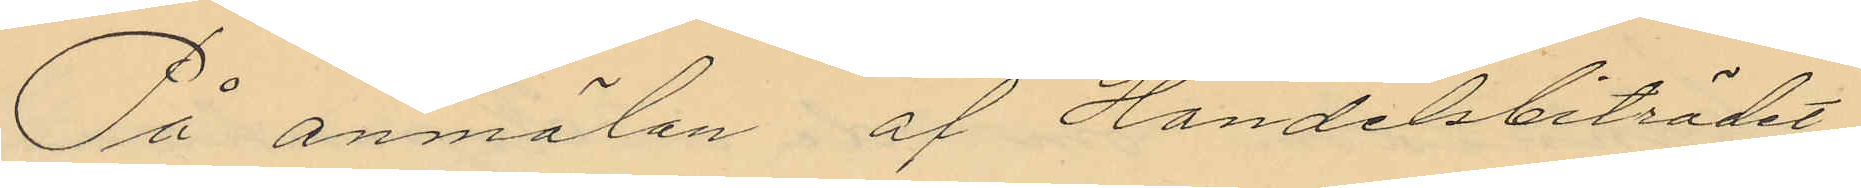På anmälan af Handelsbiträdet
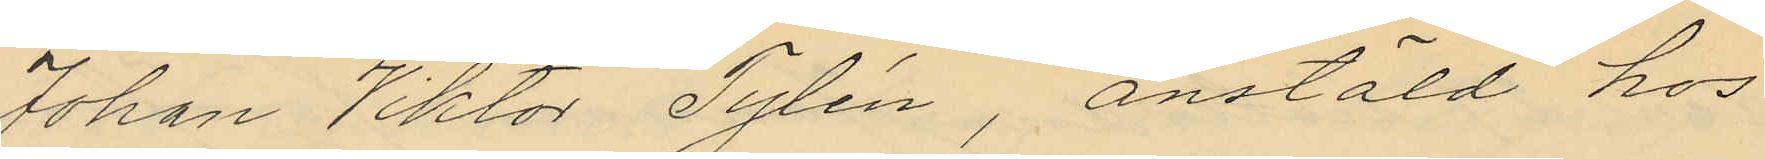Johan Viktor Tylén, anstäld hos
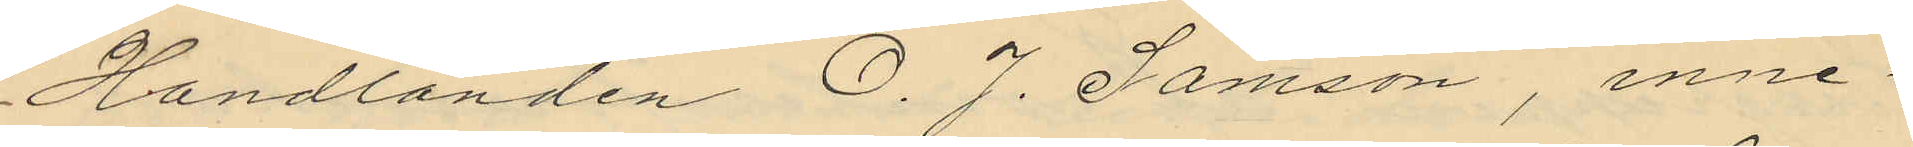Handlanden O. J. Samson, inne¬
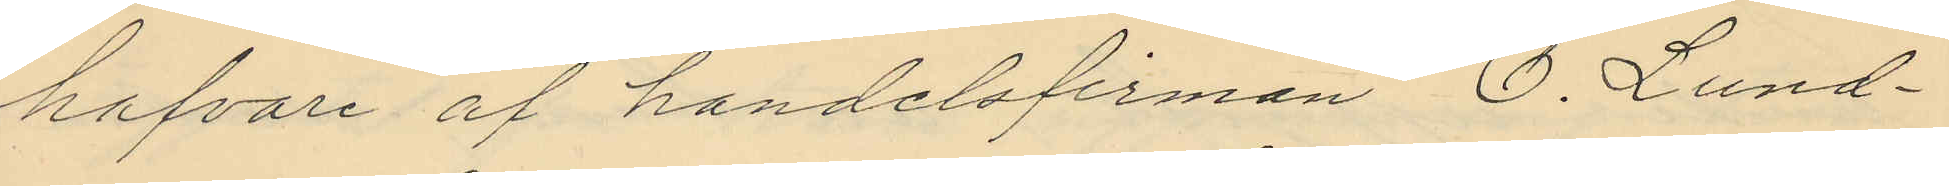hafvare af handelsfirman O. Lund¬
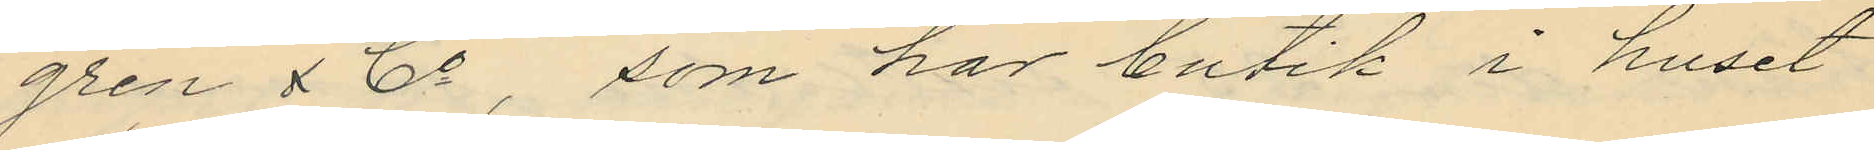gren & Co, som har butik i huset
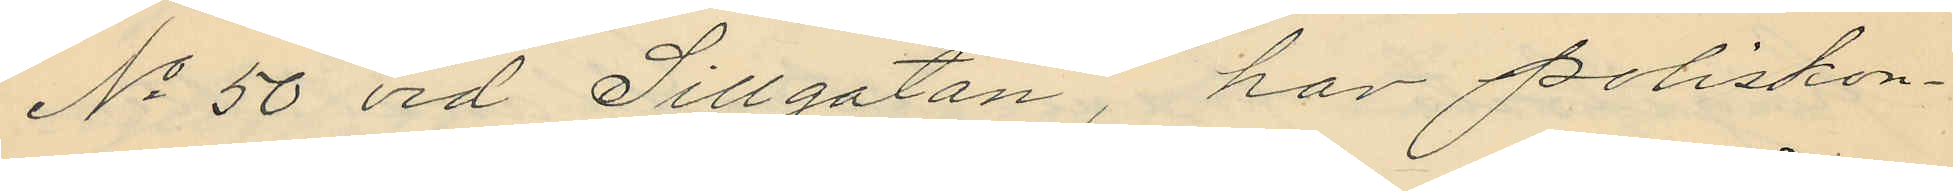No 50 vid Sillgatan, har poliskon¬
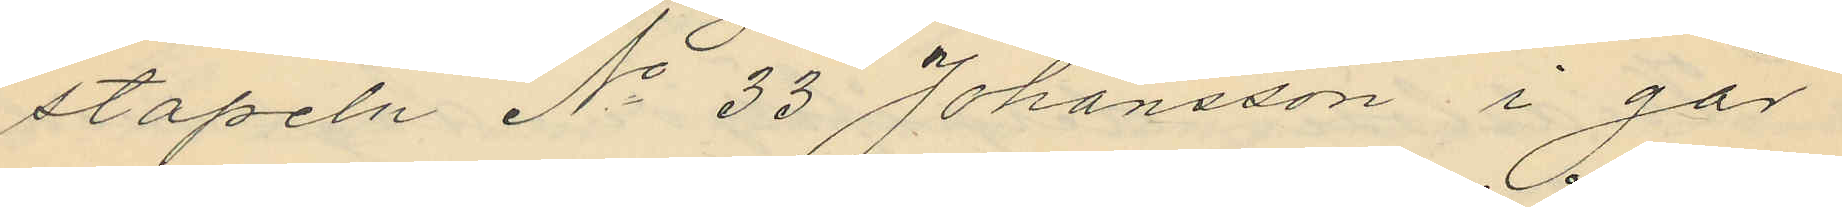stapeln No 33 Johansson i går
